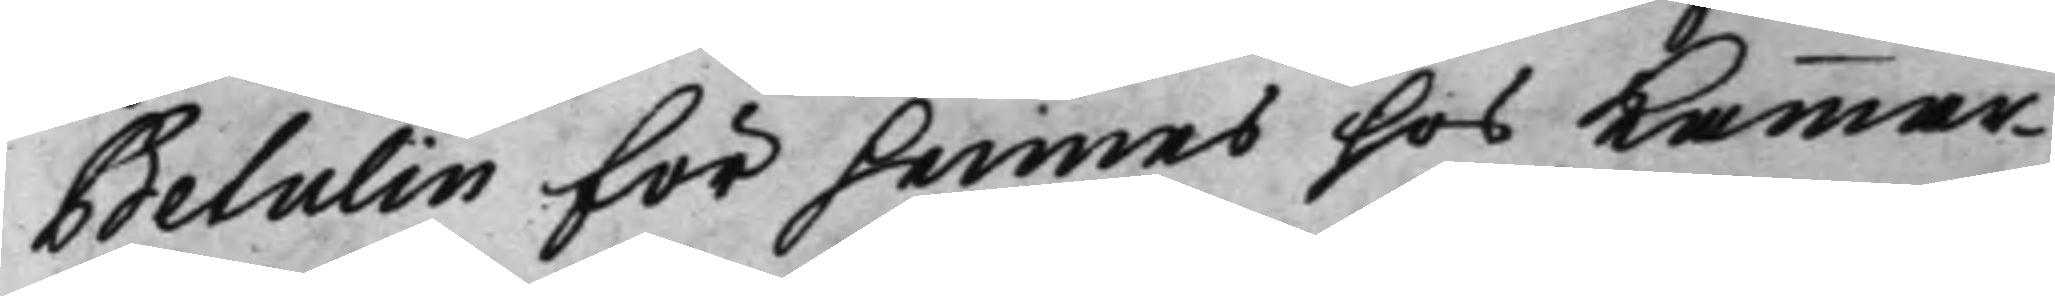Betulin för hennes hos Kammar¬
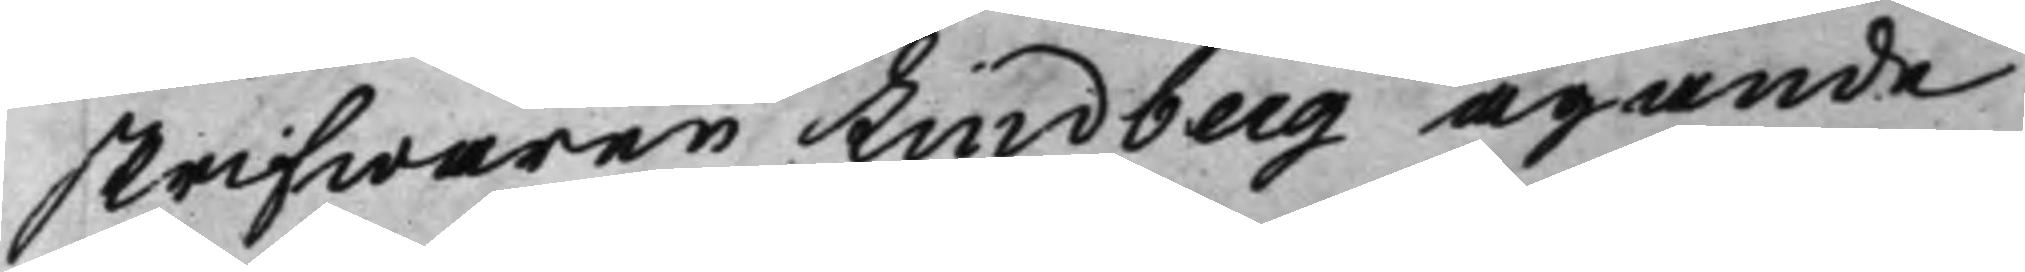skrifwaren Lindberg ägande
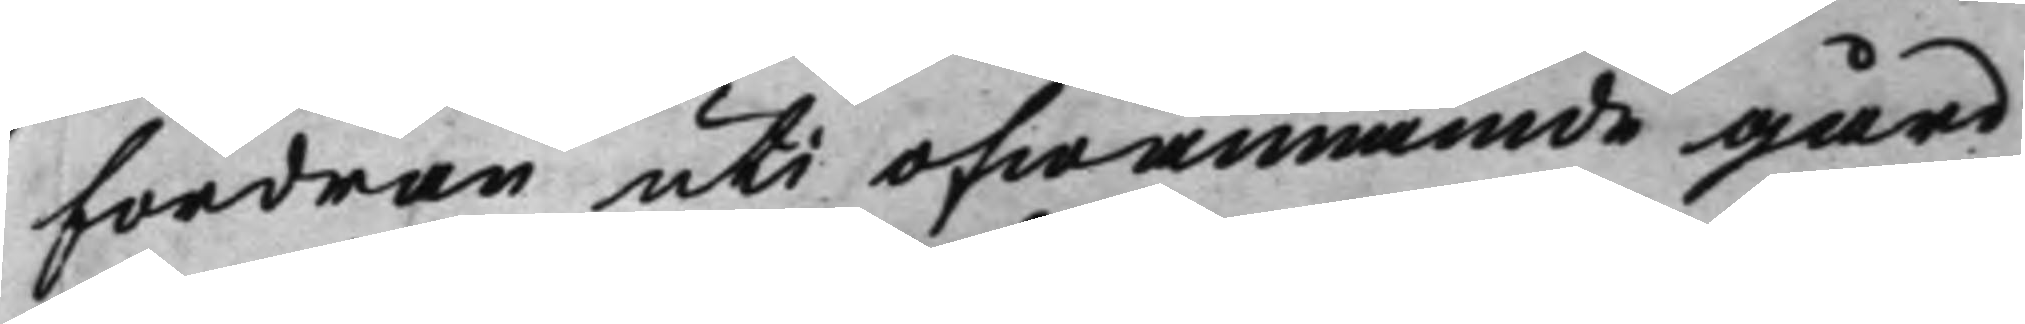fordran uti ofwannämde gård
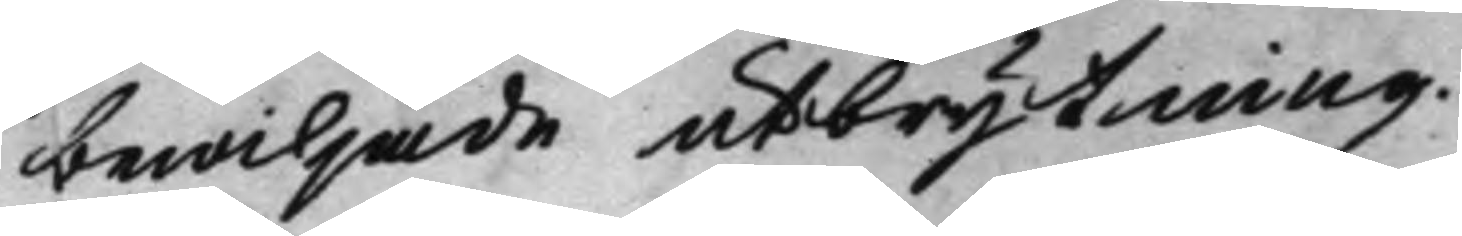bewiljade utbrytning.
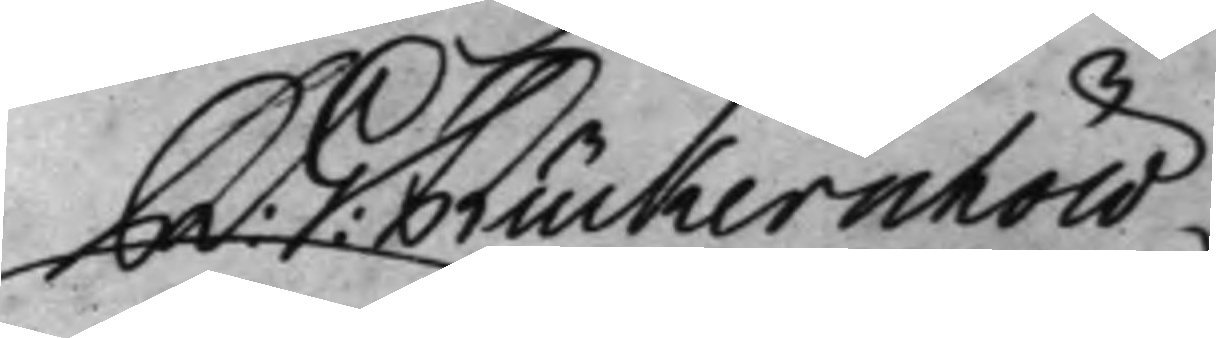R: G: Rückerschöld
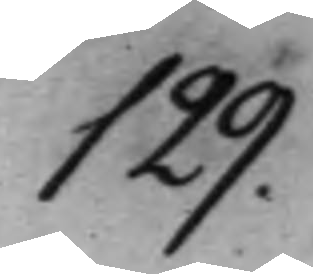129.
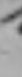ursäkt.
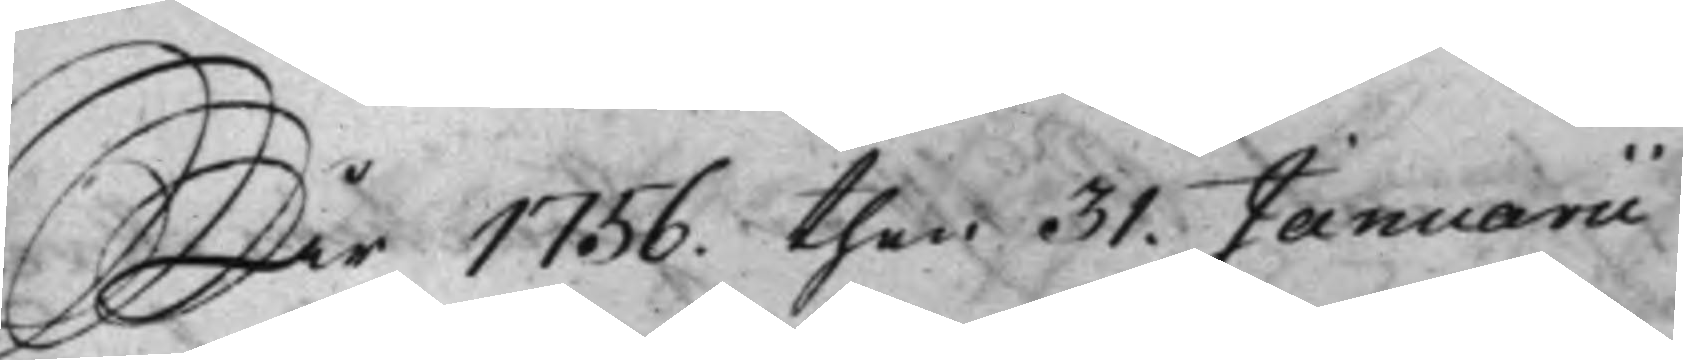År 1756. then 31. Januarii
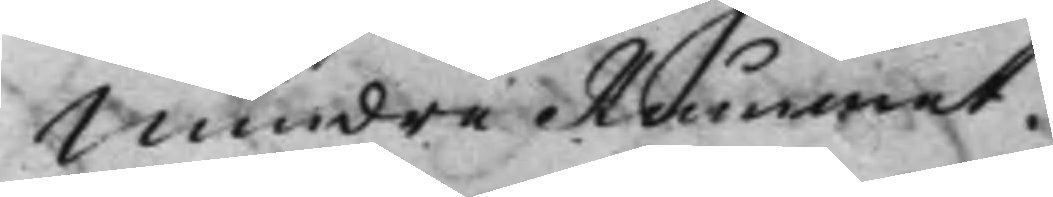Mindre Rummet.
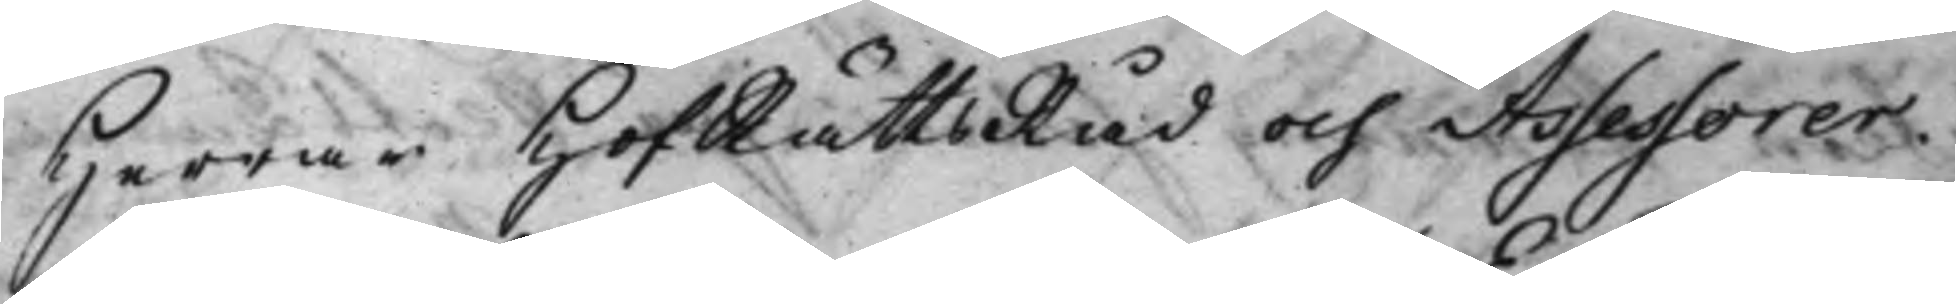Herrar HofRättsRåd och Assessorer.
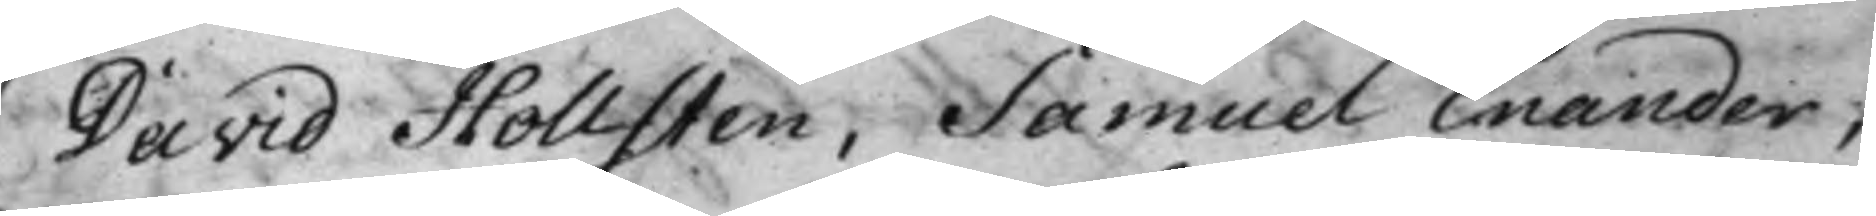David Hollsten, Samuel Enander,
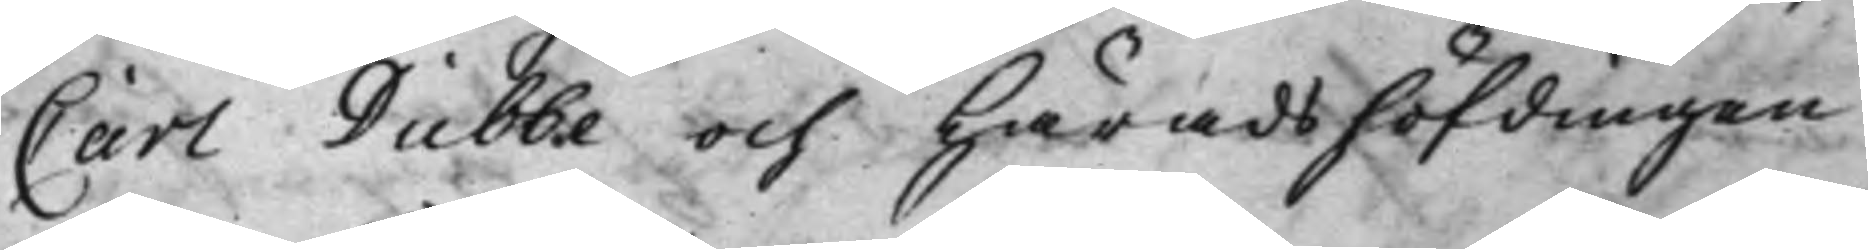Carl Dubbe och Häradshöfdingen
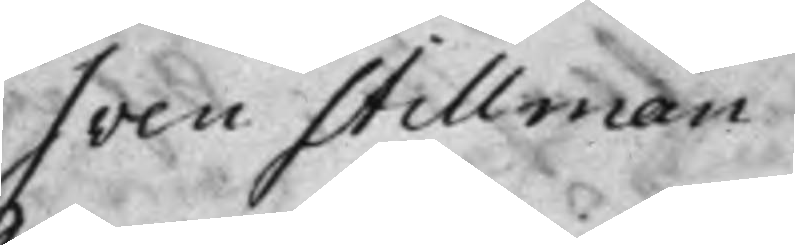Sven Stillman.
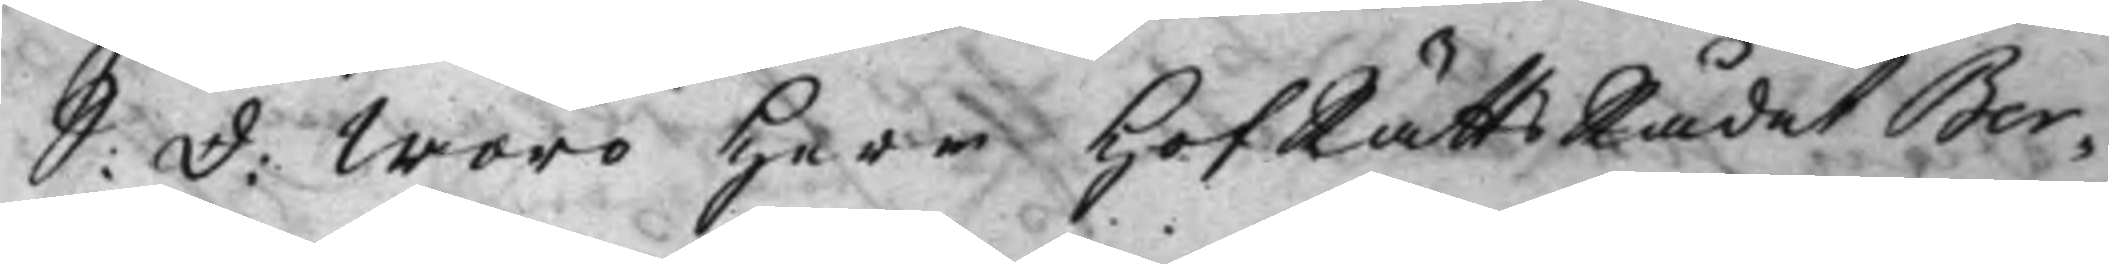S: D: Woro Herr HofRättsRådet Ber¬
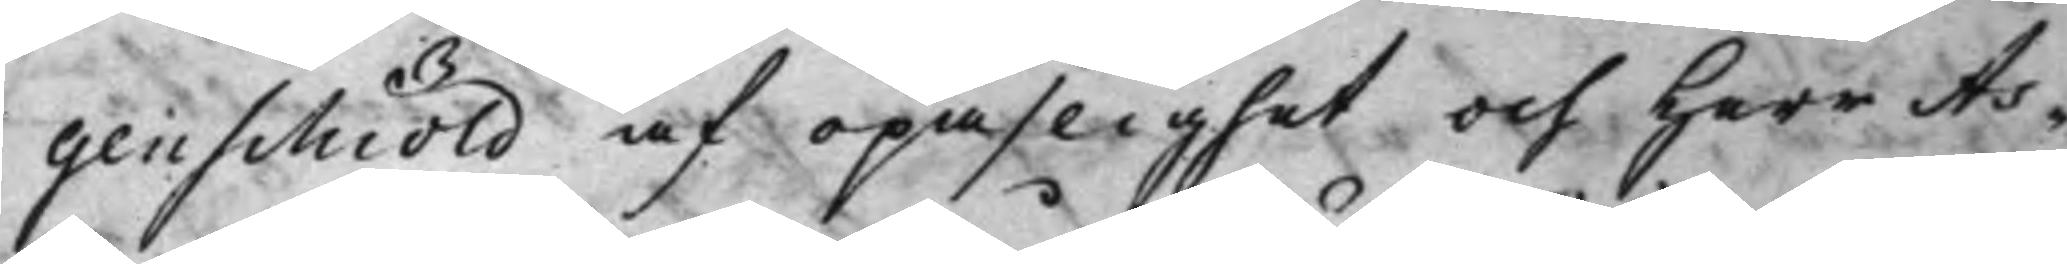genschiöld af opaslighet och Herr As¬
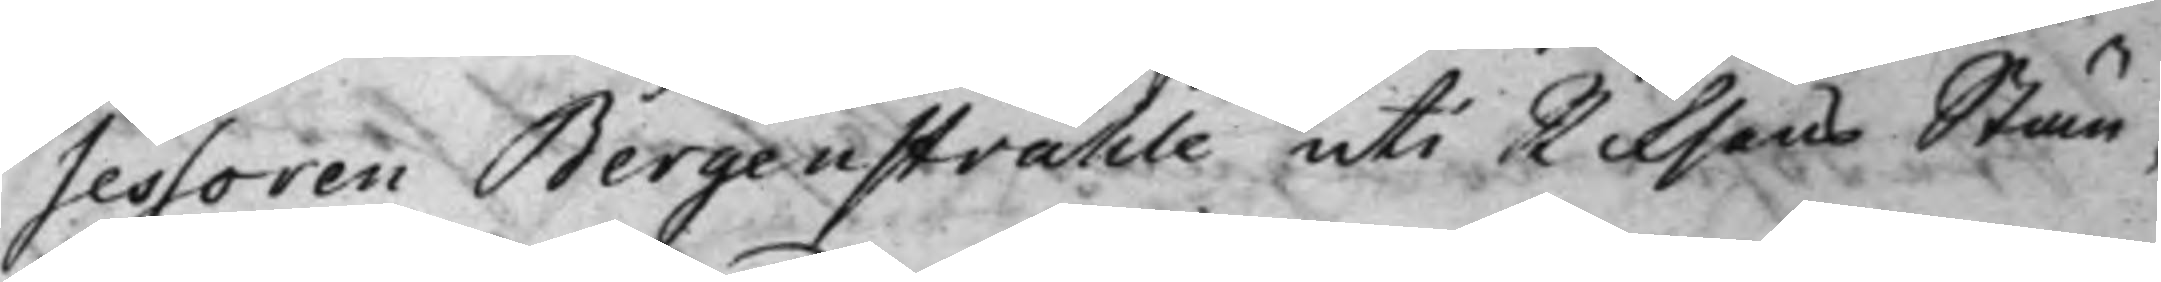sessoren Bergenstråhle uti Riksens Stän¬
